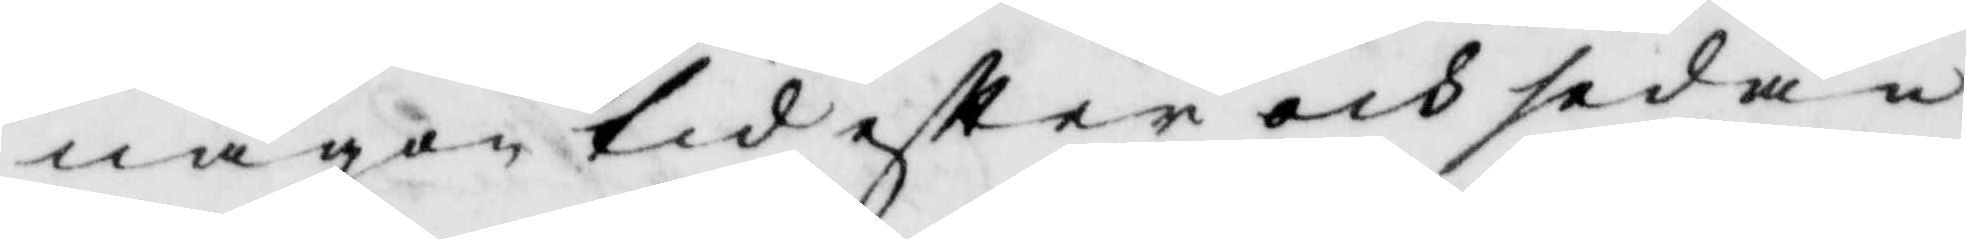någon tid efter och sedan
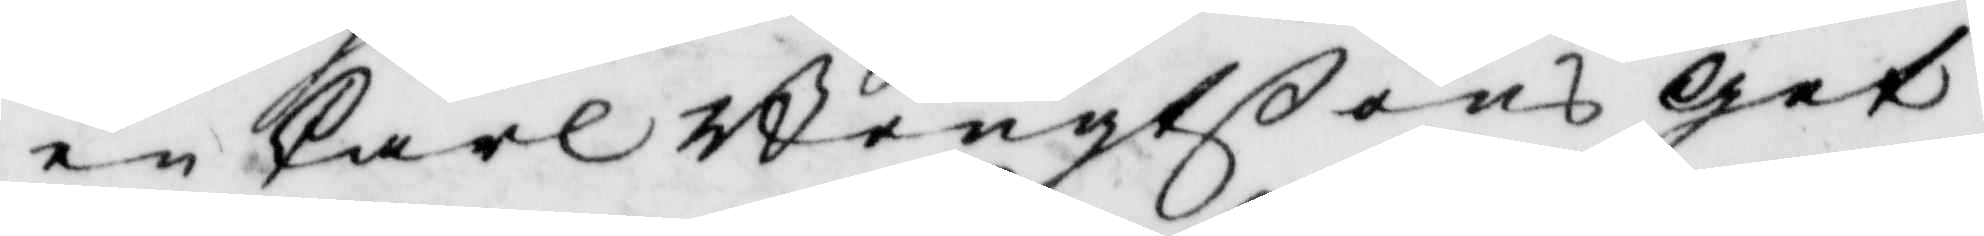en Carl Bengtßons get
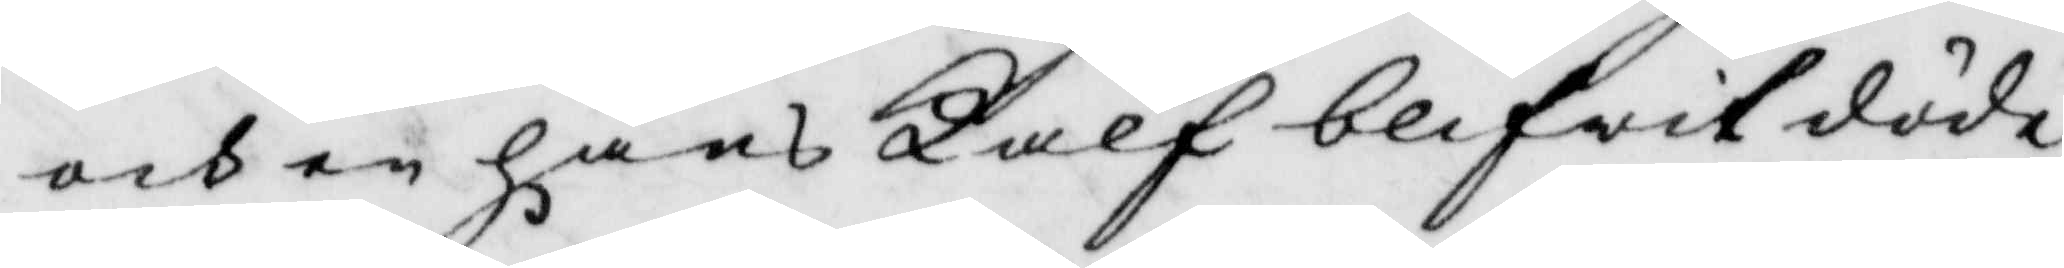och en hans Kalf blifwit döde,
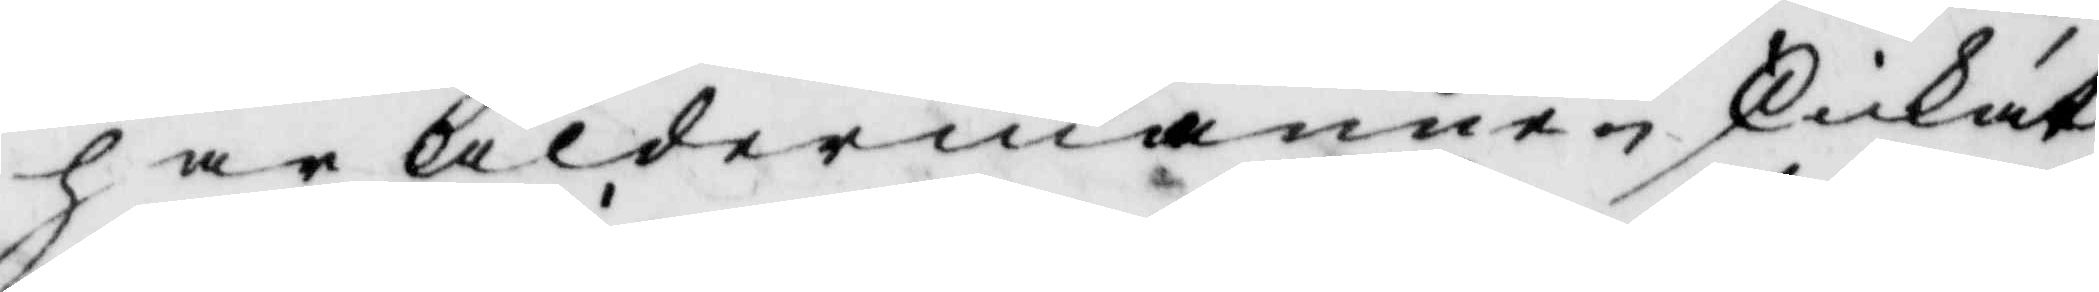har åldermannen skickat
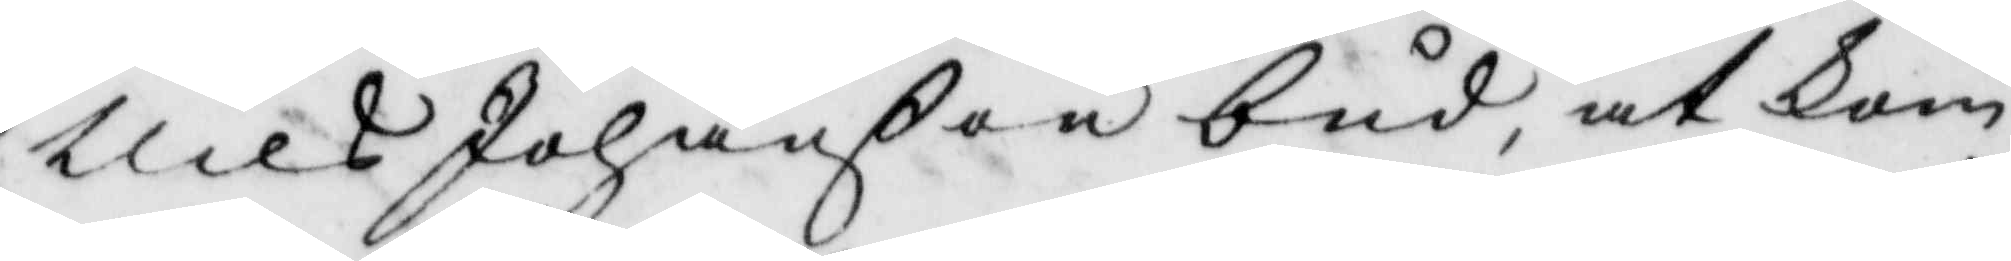Nils Johanßon bud, at kom¬
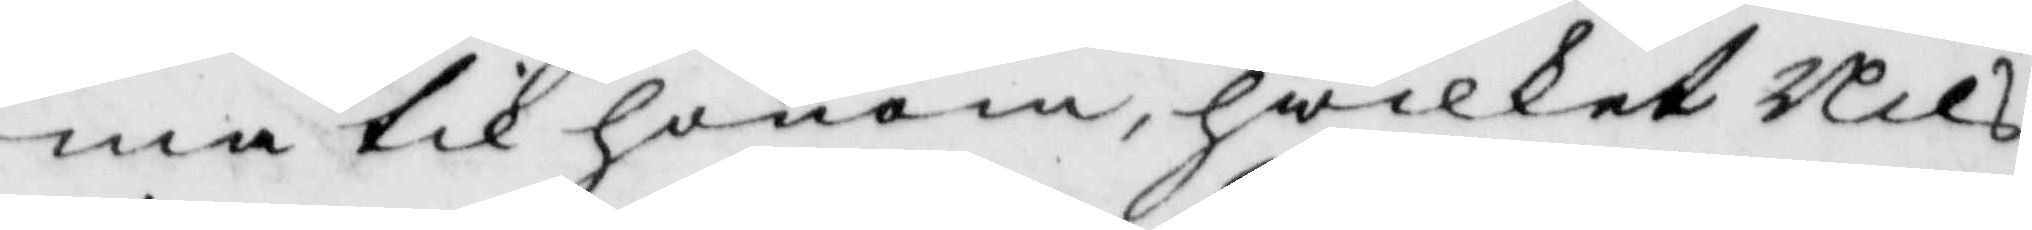ma til honom, hwilket Nils
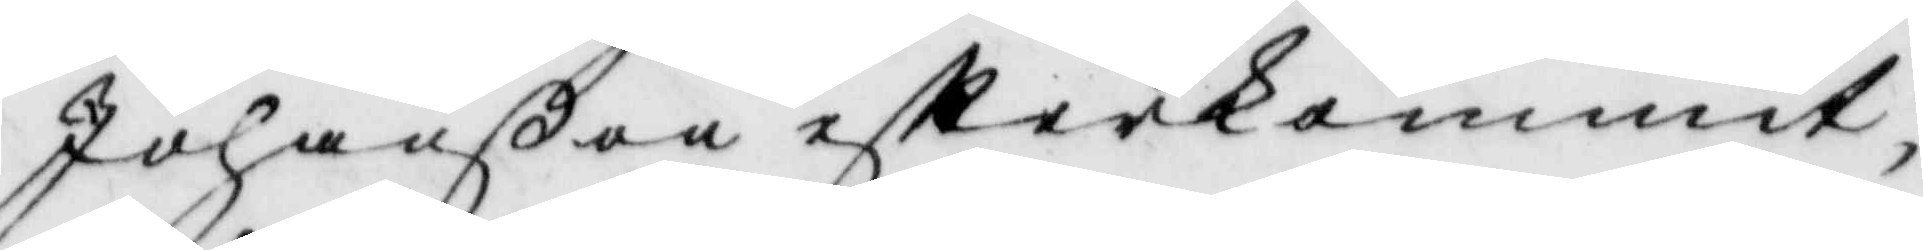Johanßon efterkommit,
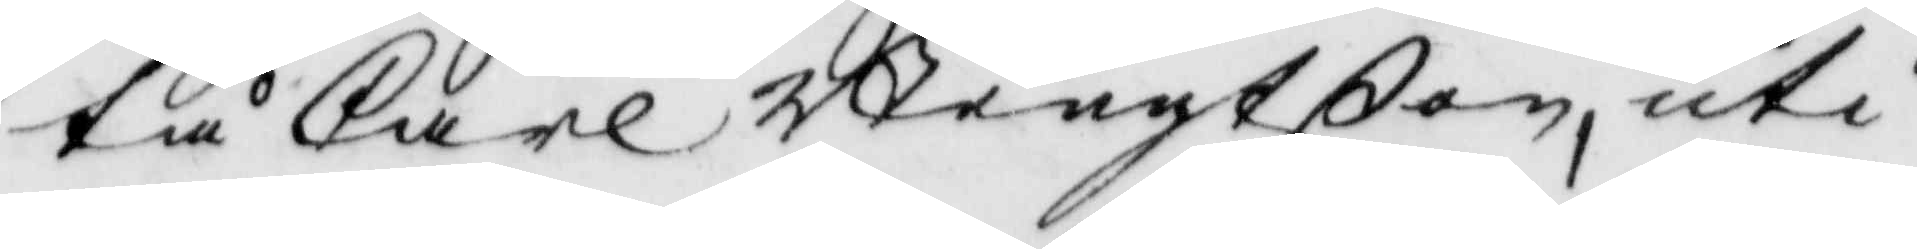tå Carl Bengtßon, uti
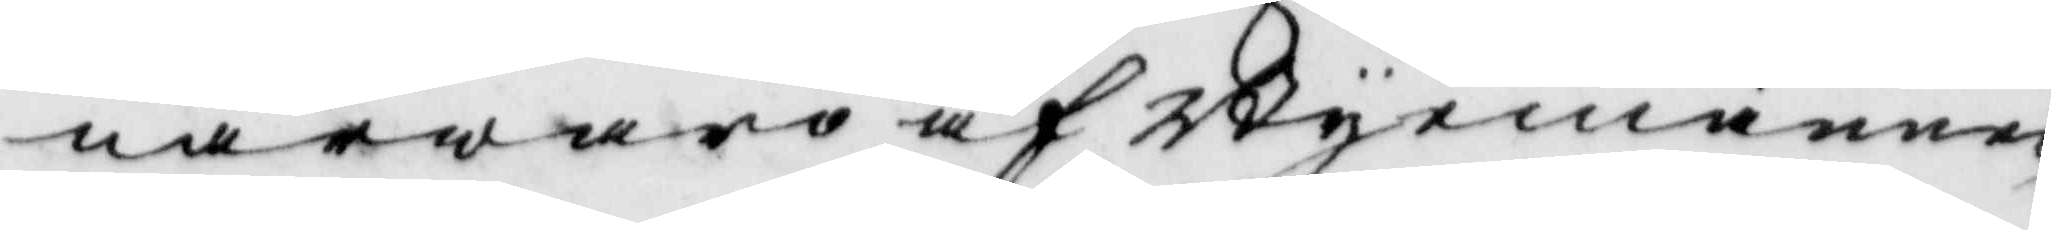närwaro af Byemännen
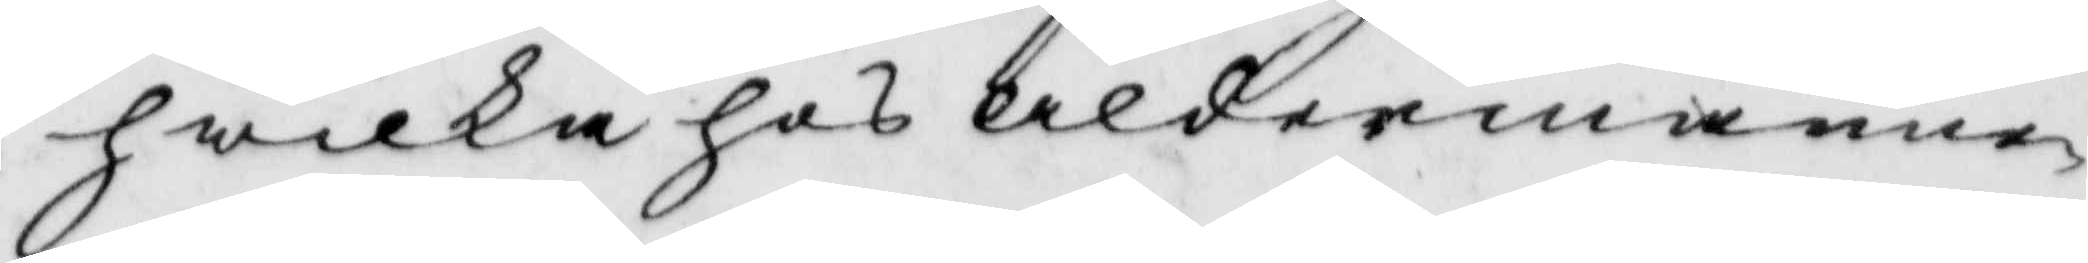hwilka hos åldermannan
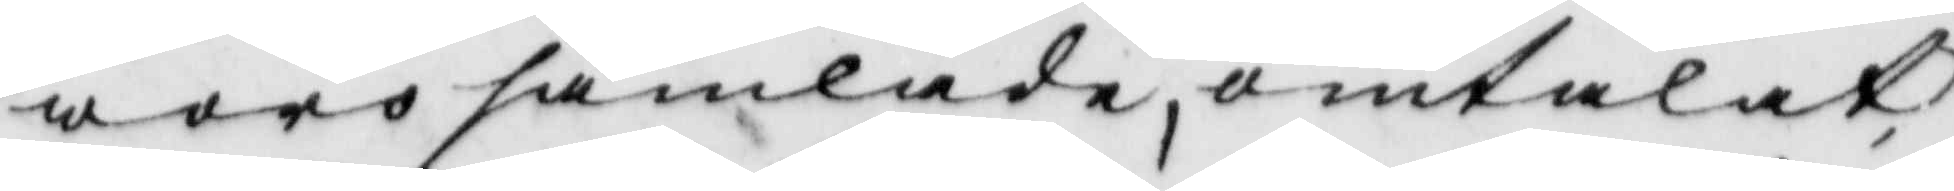woro samlade, omtalat,
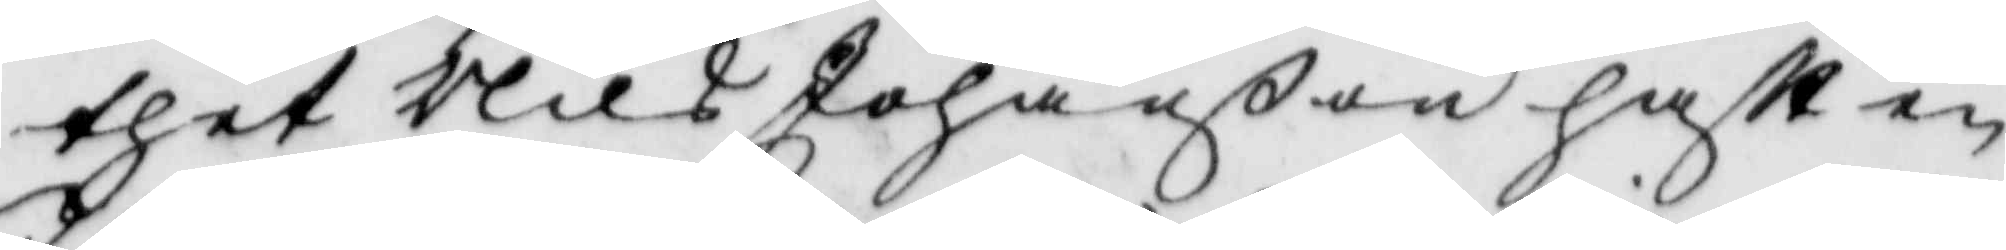thet Nils Johanßon haftt en
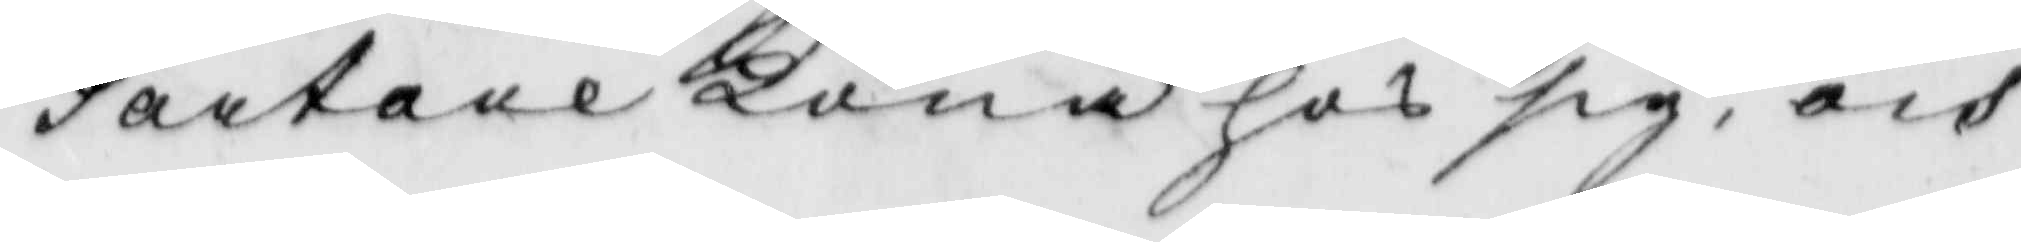Tartare Kona hos sig, och
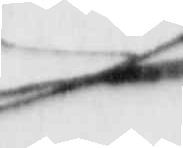J
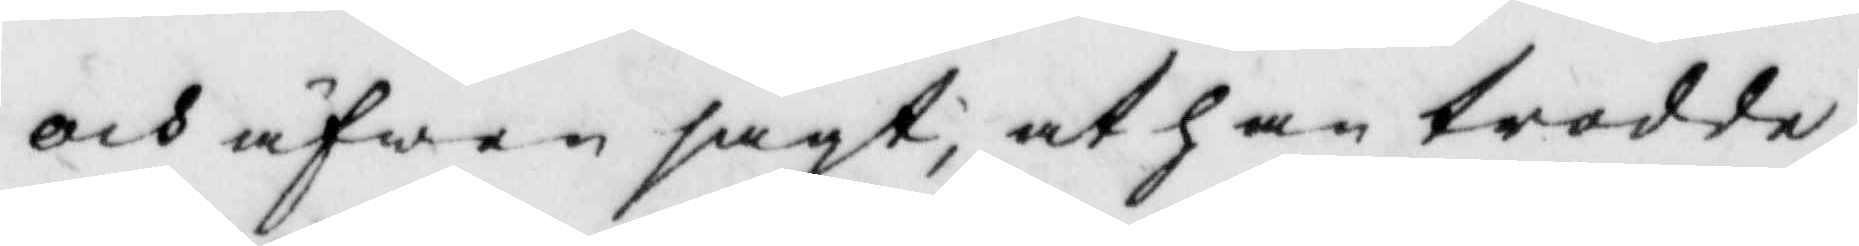och äfwen sagt, at han trodde
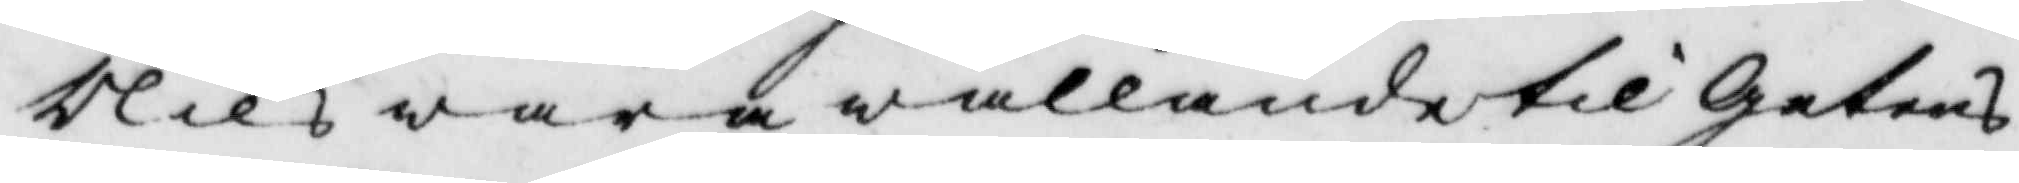Nils wara wållande til getens
